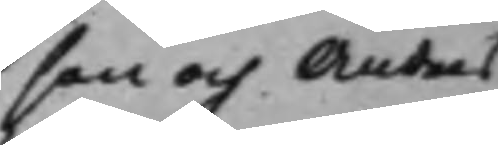son och Anders
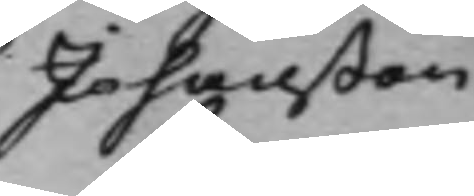Johanßon
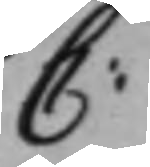C:
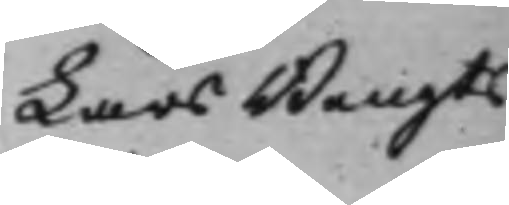Lars Bengts¬
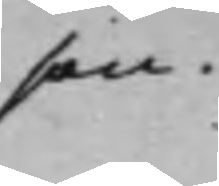son.
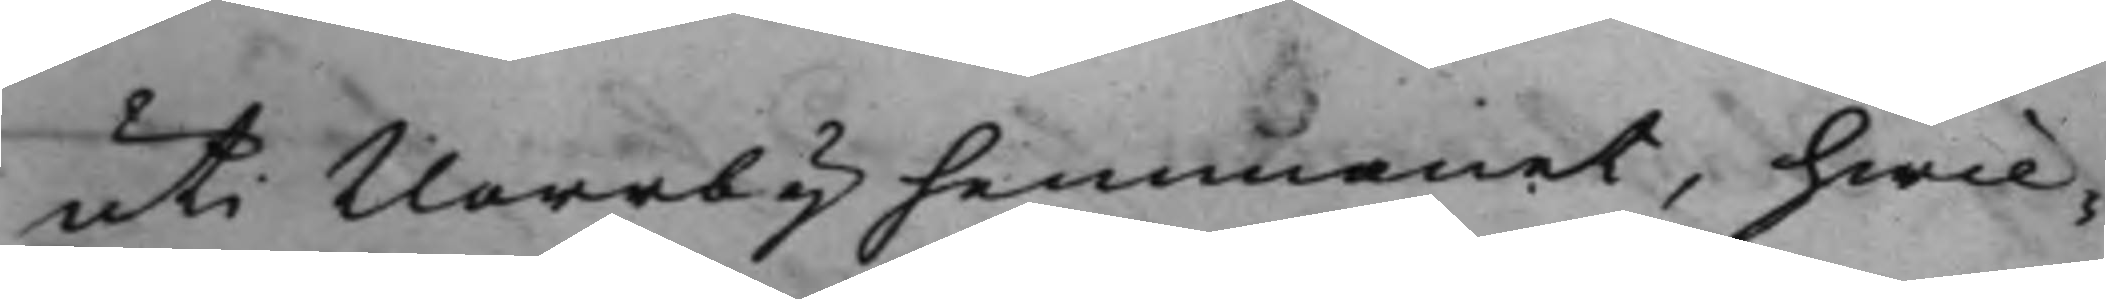uti Norrby hemmanet, hwil¬
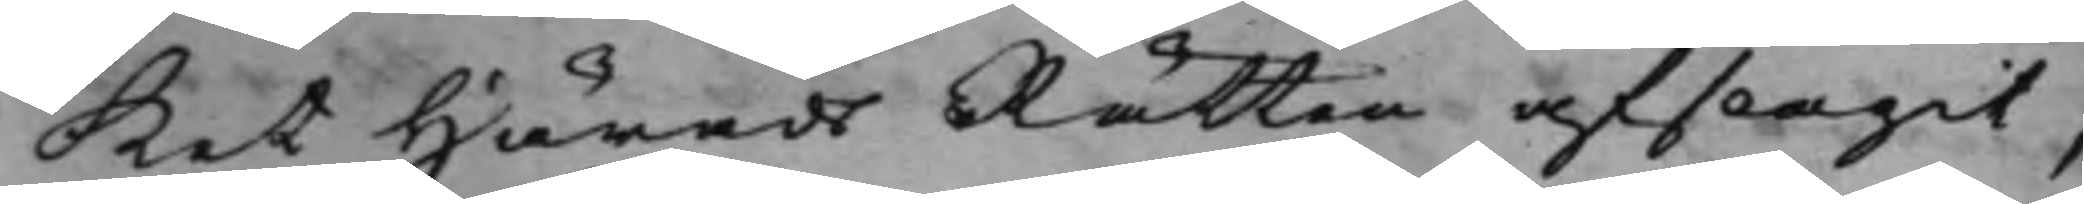ket HäradsRätten afslagit,
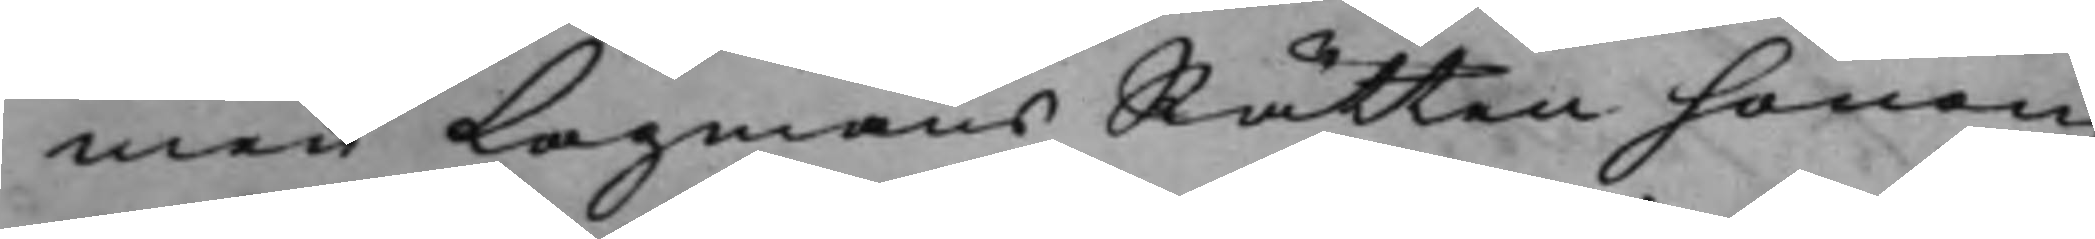men LagmansRätten honom
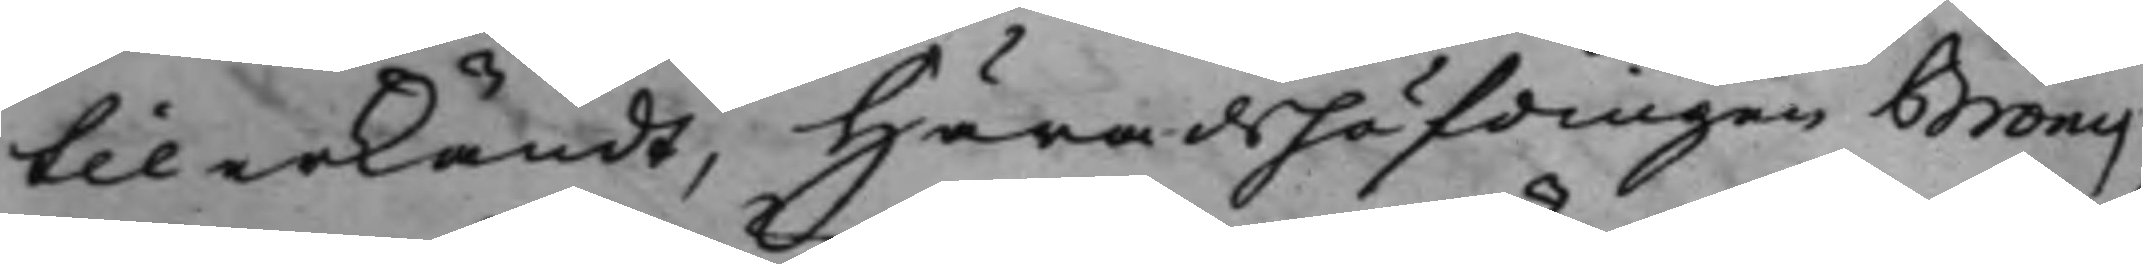tilerkändt, Häradshöfdingen Bröms,
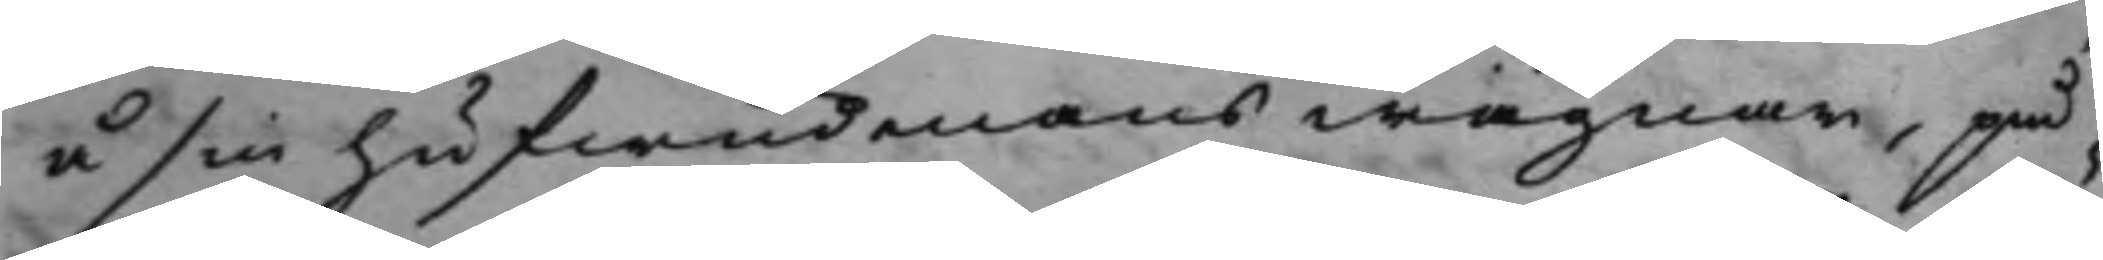å sin hufwudmans wägnar, på¬
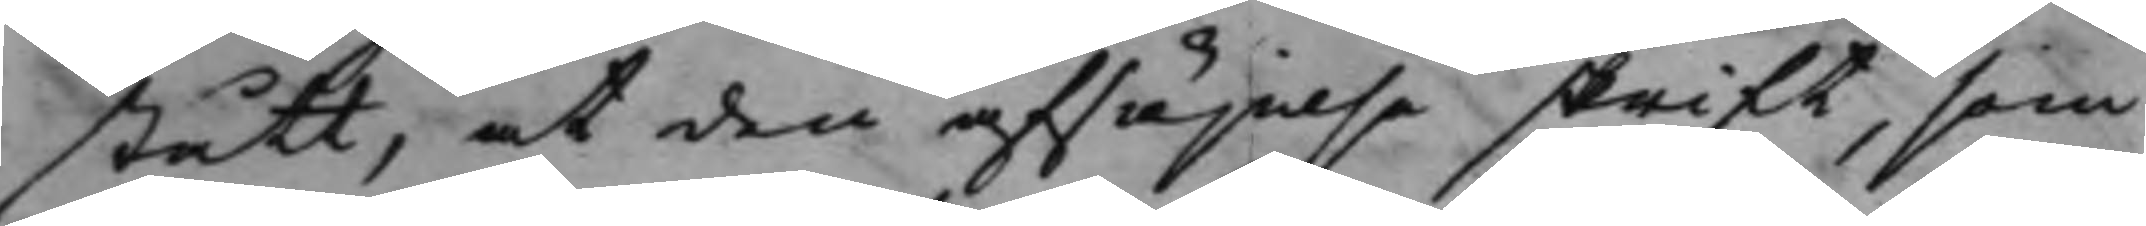stått, at den afsäjelse skrift, som
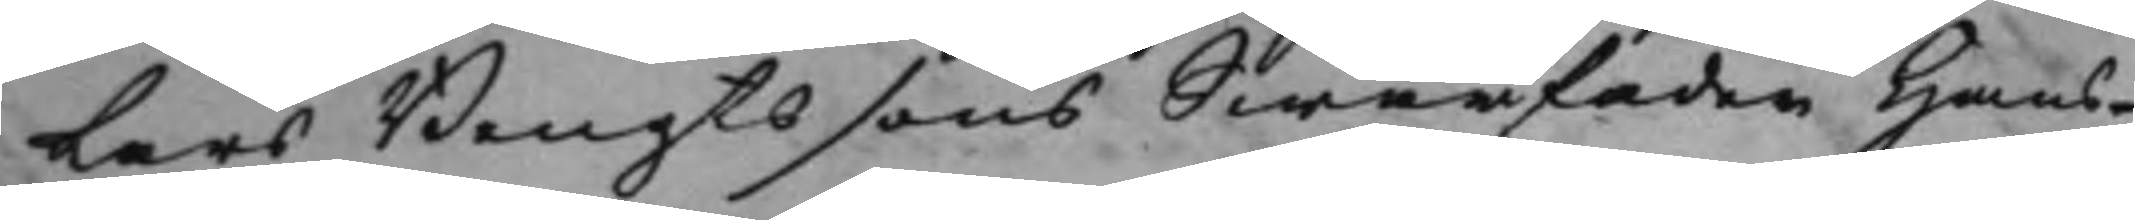Lars Bengtssons Swärfader Hans
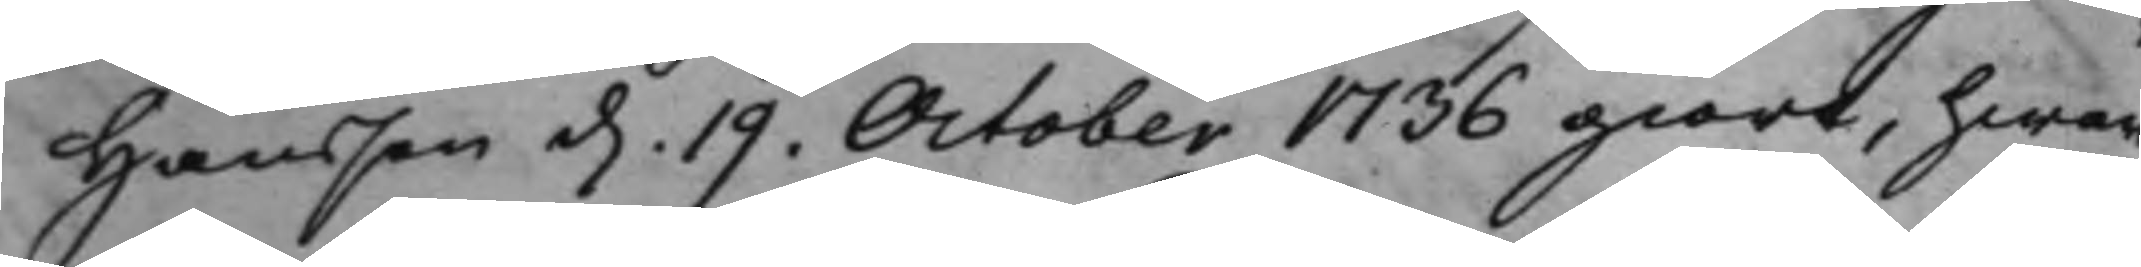Hansson d. 19. October 1736 giort, hwar¬ 
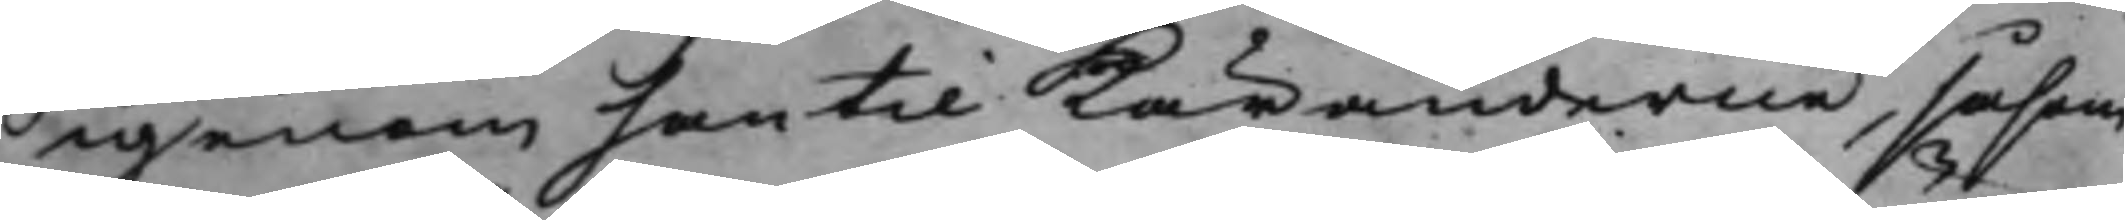igenom han till Käranderne, såsom
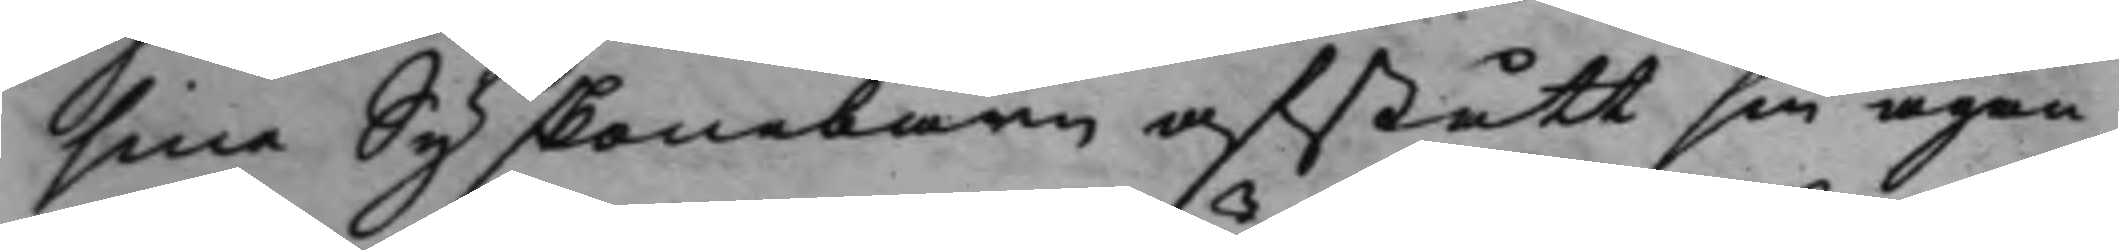sine Syskonebarn afstått sin ägen¬
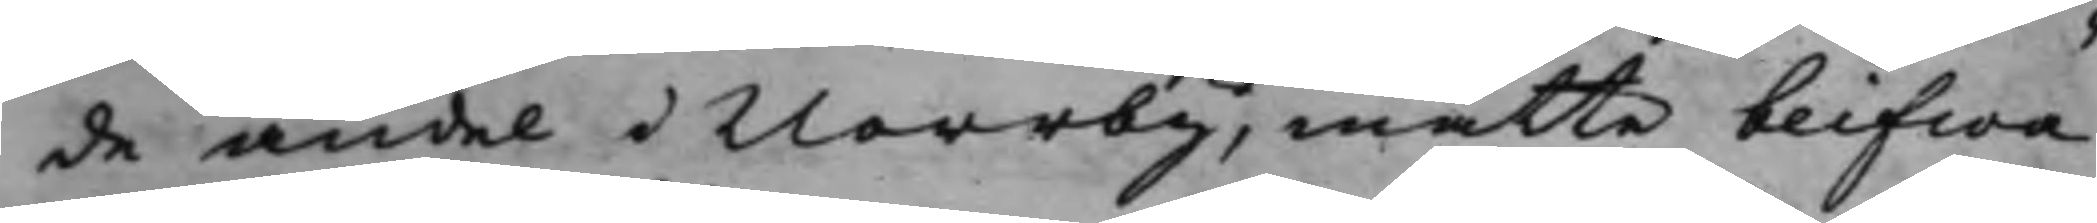de andel i Norrby, måtte blifwa
